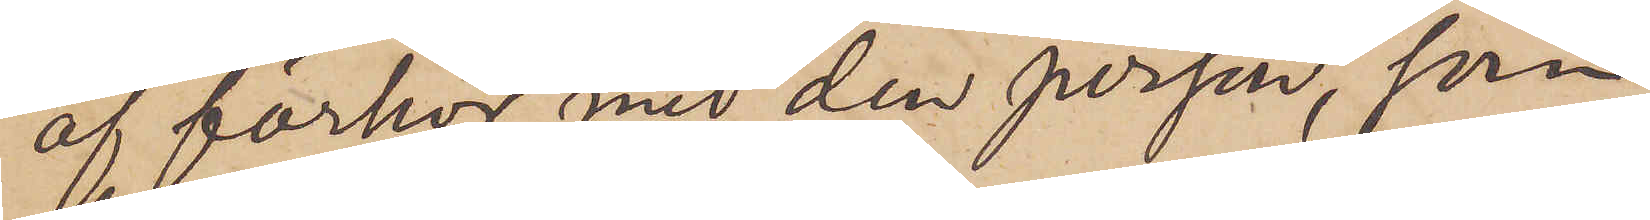af förhör med den person, som
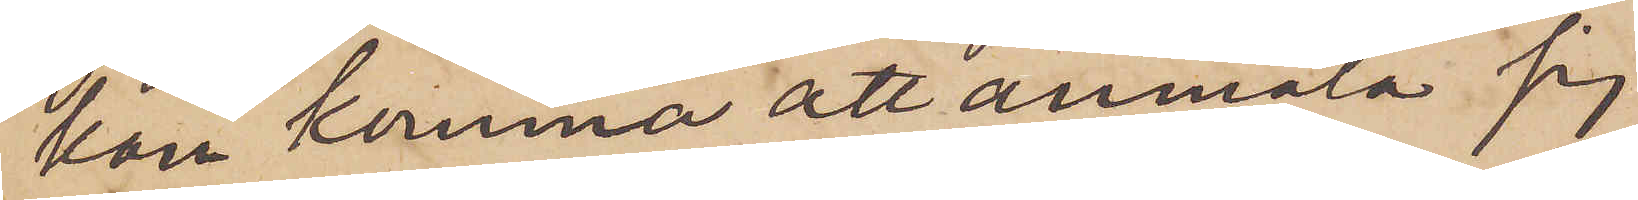kan komma att anmäla sig
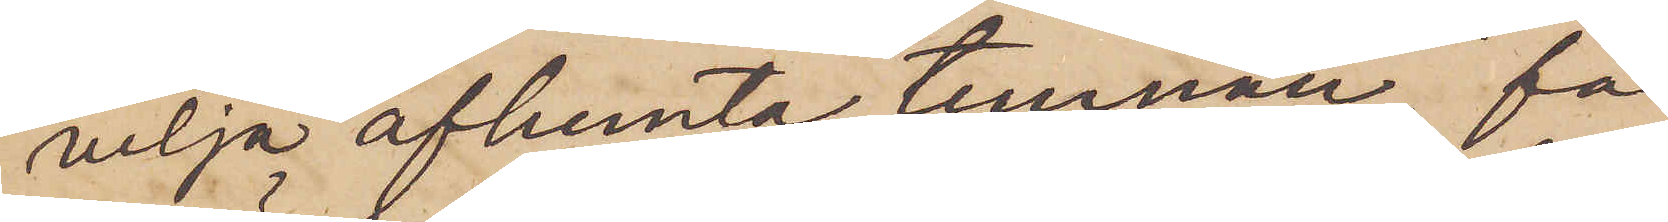vilja afhemta tunnan, få
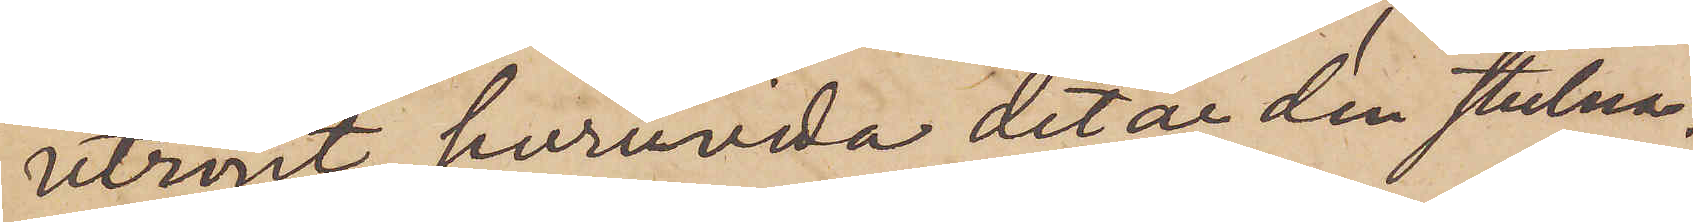utrönt huruvida det är den stulna.
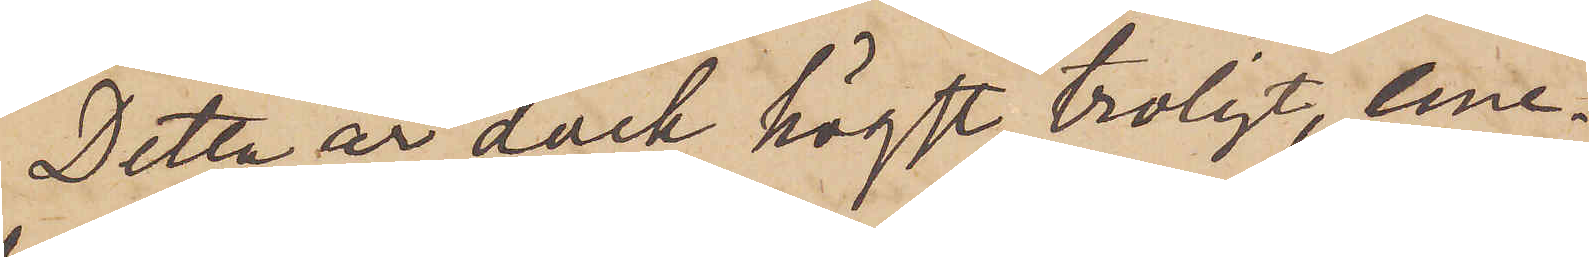Detta är dock högst troligt, eme¬
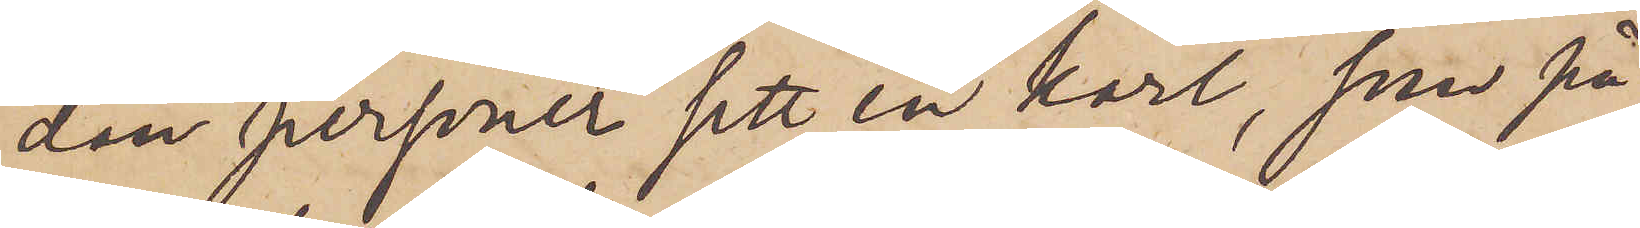dan personer sett en karl, som på
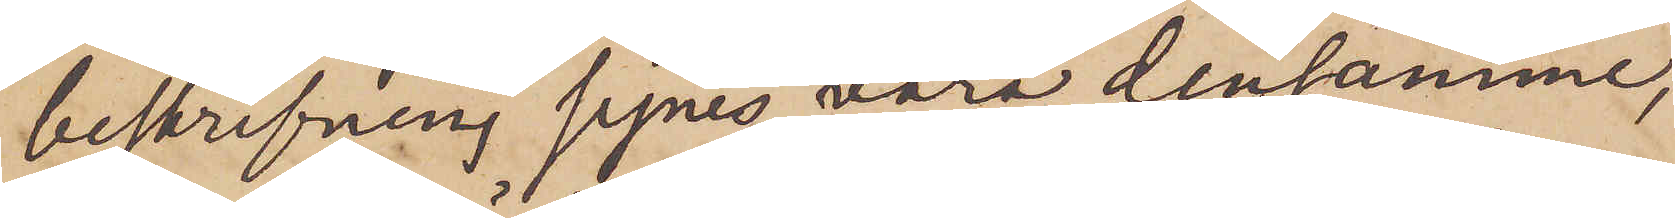beskrifning synes vara densamme,
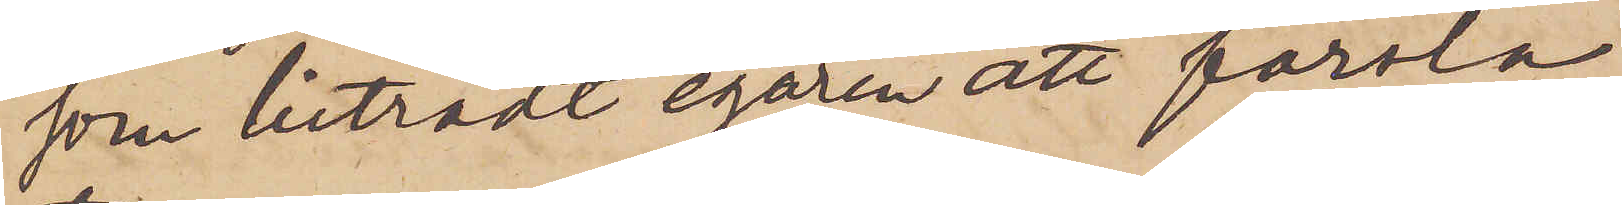som biträdt egaren att forsla
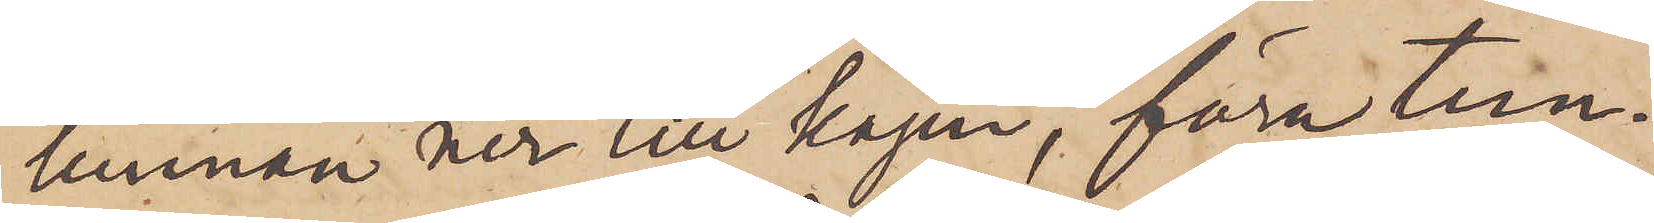tunnan ner till kajen, föra tun¬
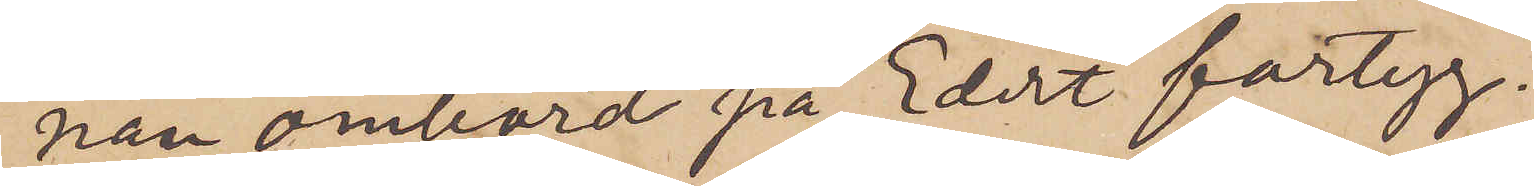nan ombord på Edert fartyg.
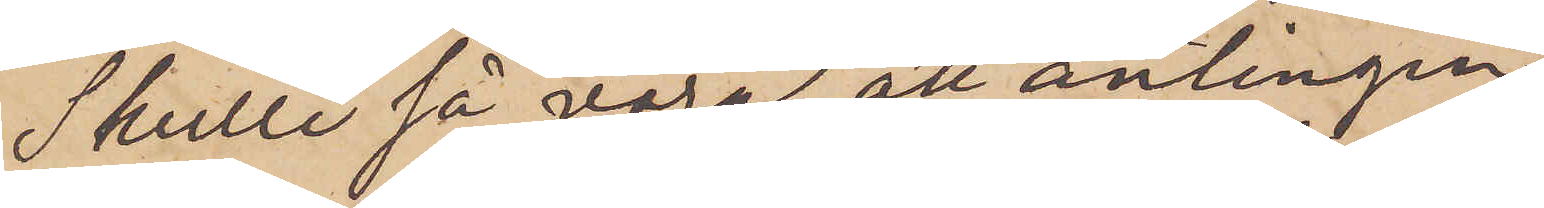Skulle så vara, att antingen
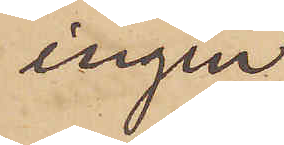ingen
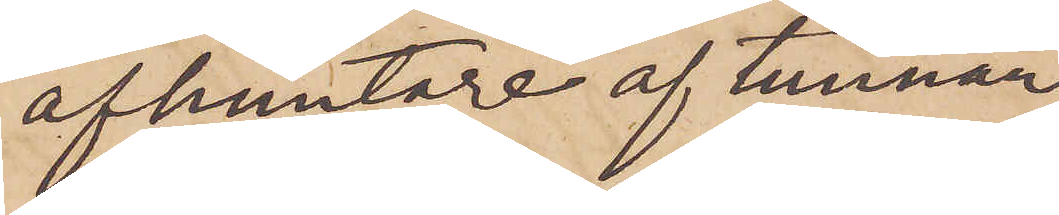afhemtare af tunnan
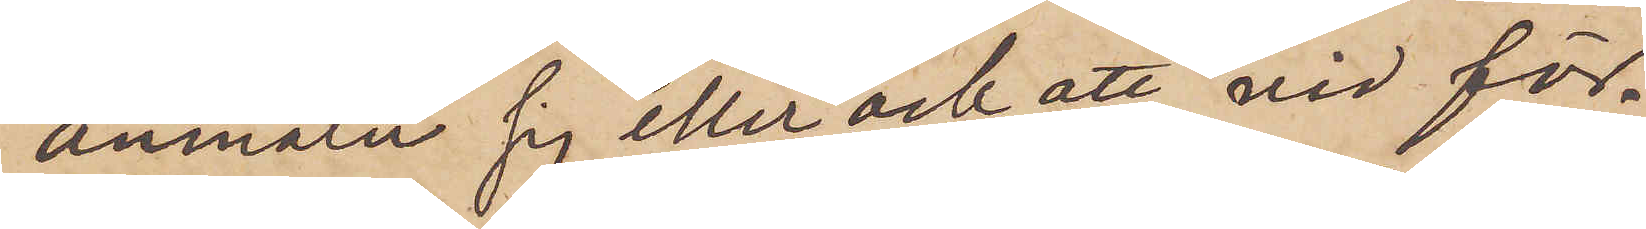anmäler sig eller ock att vid för¬
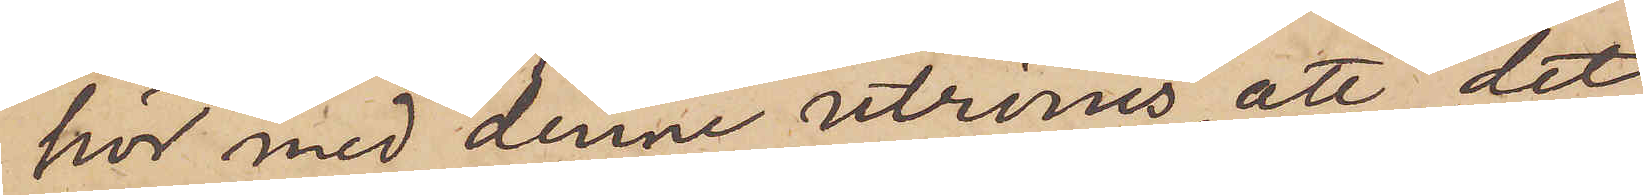hör med denne utrönes, att det
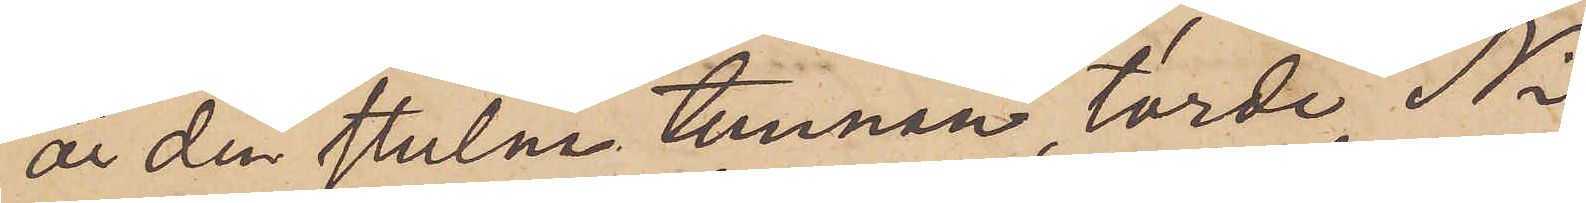är den stulna tunnan, torde Ni
